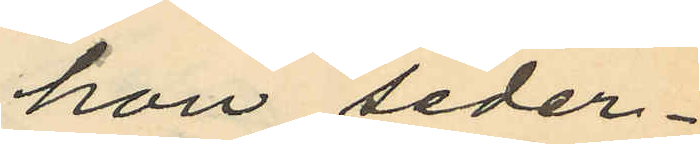hon seder¬
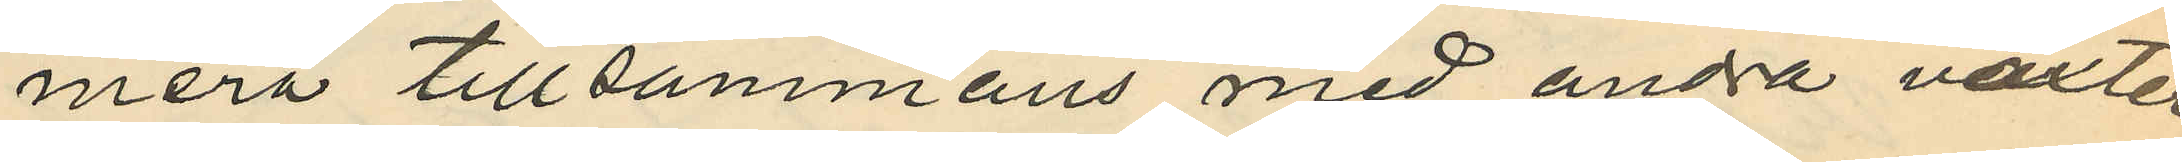mera tillsammans med andra växter,
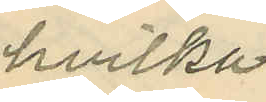hvilka
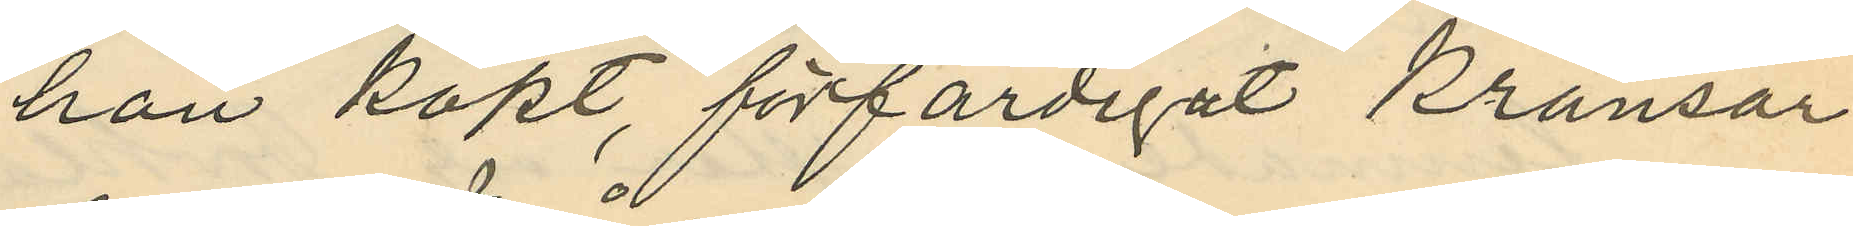hon köpt, förfärdigat kransar
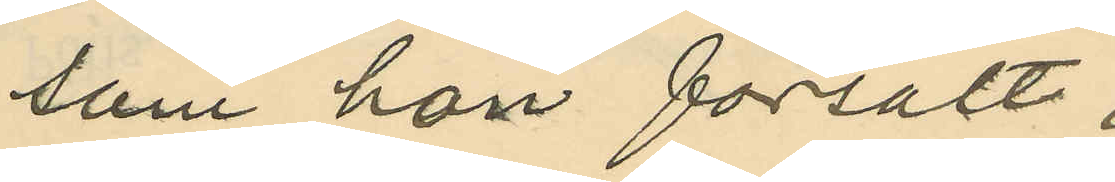som hon försålt;
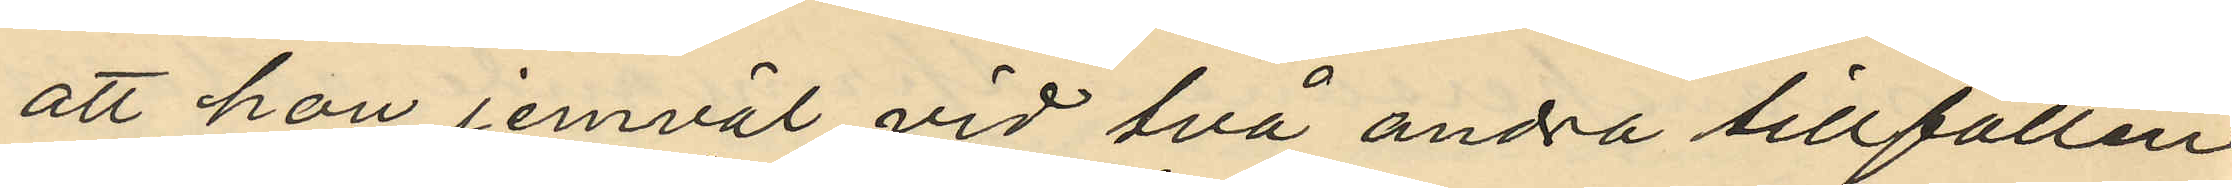att hon jemväl vid två andra tillfällen
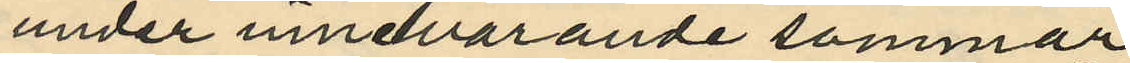under innevarande sommar
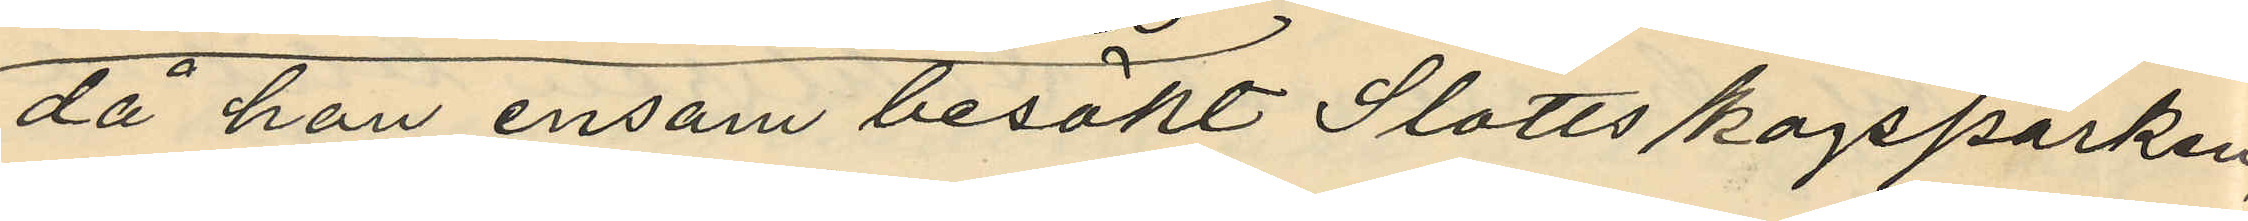då hon ensam besökt Slottsskogsparken,
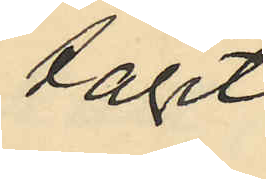tagit
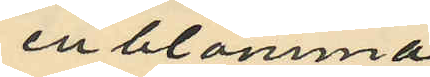en blomma
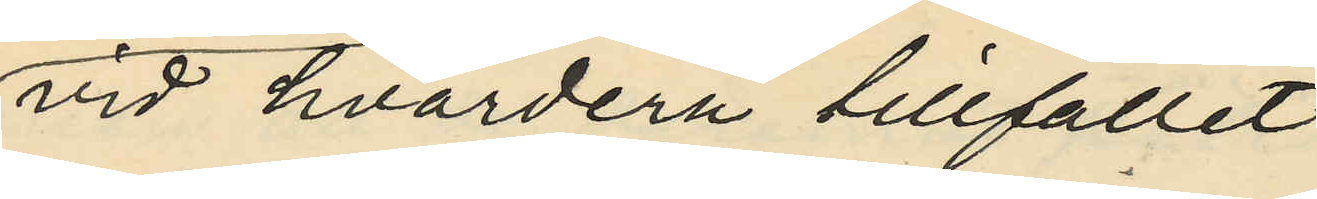vid hvardera tillfället
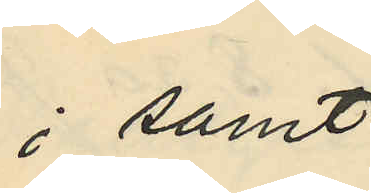; samt
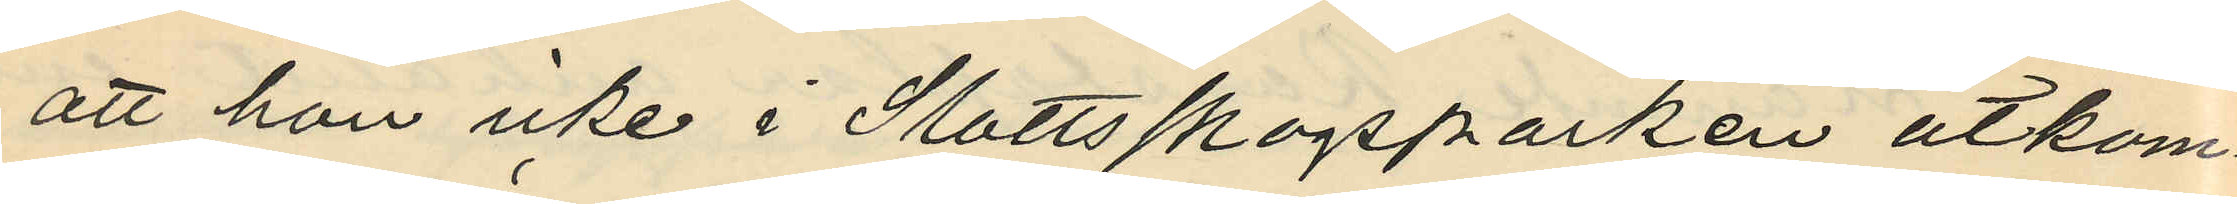att hon icke i Slottsskogsparken åtkom¬
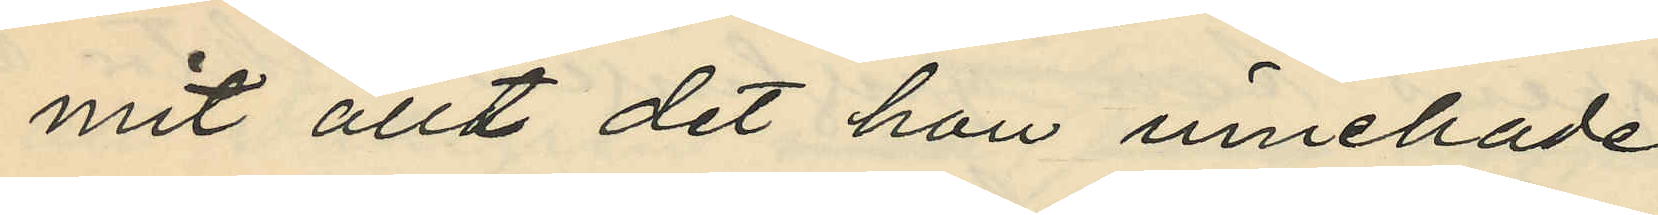mit allt det hon innehade
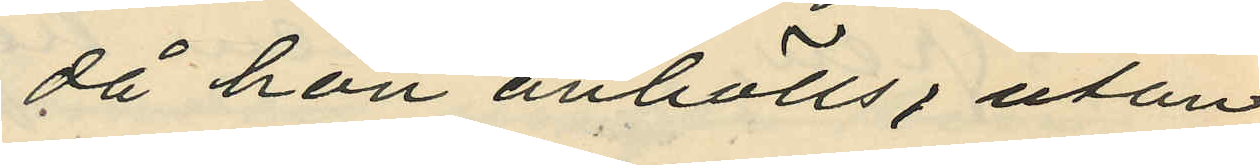då hon anhölls, utan
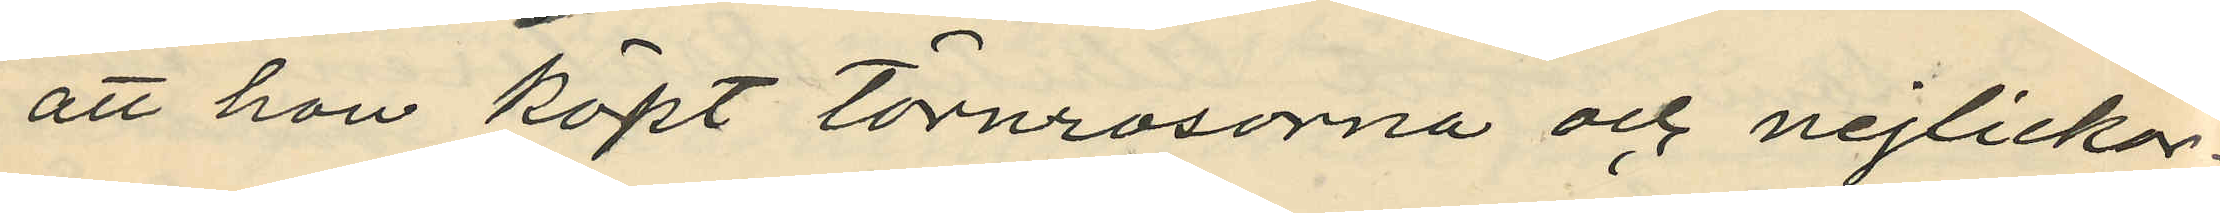att hon köpt törnrosorna och nejlickor¬
